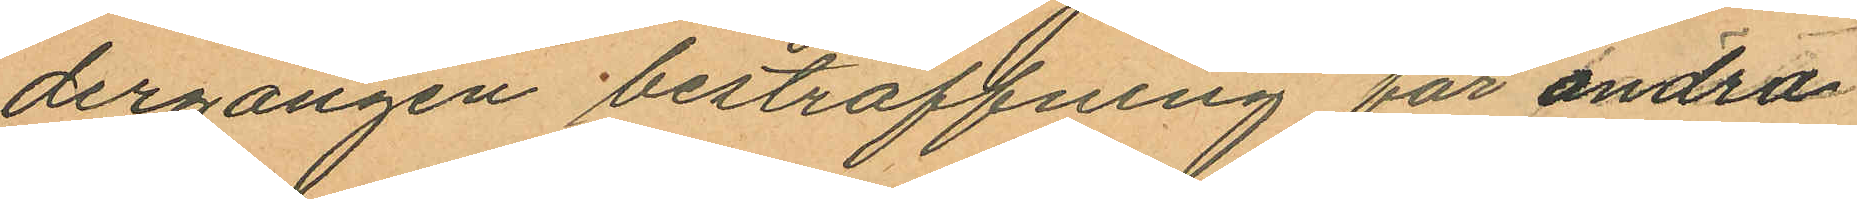dergängen bestraffning för andra
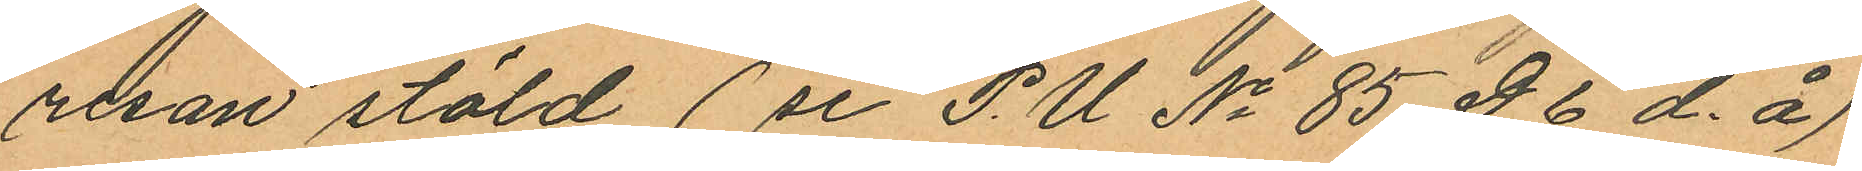resan stöld (se P.U. No 85. D.6 d. å)
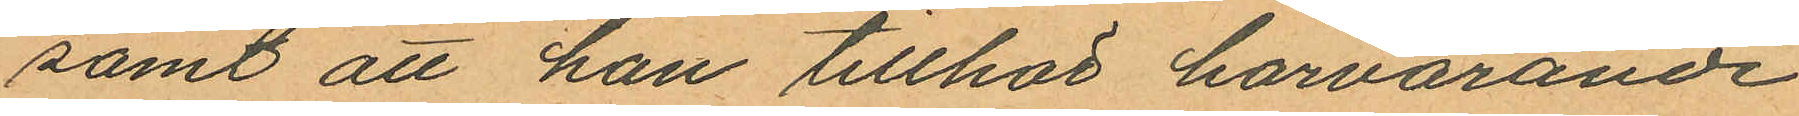samt att han tillhör härvarande
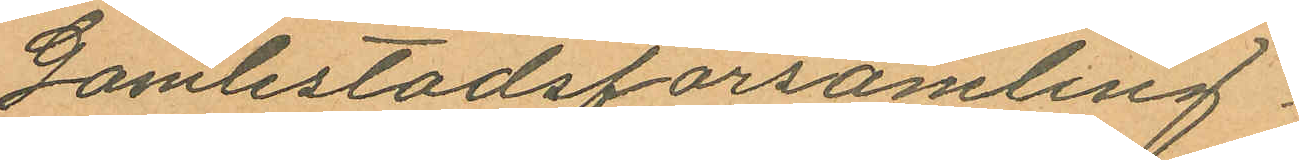Gamlestadsförsamling.
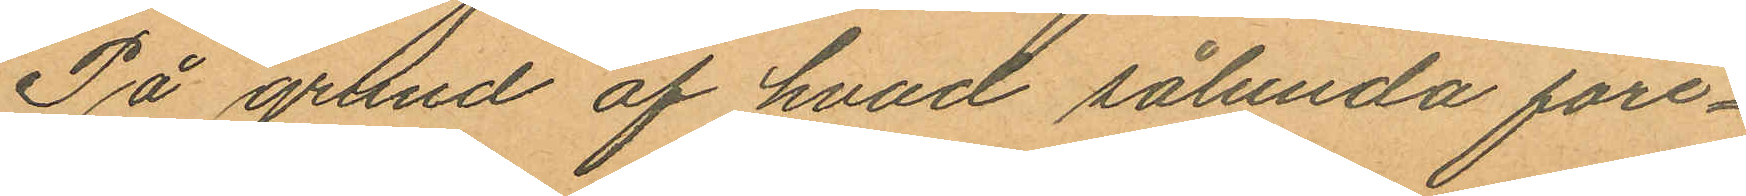På grund af hvad sålunda före¬
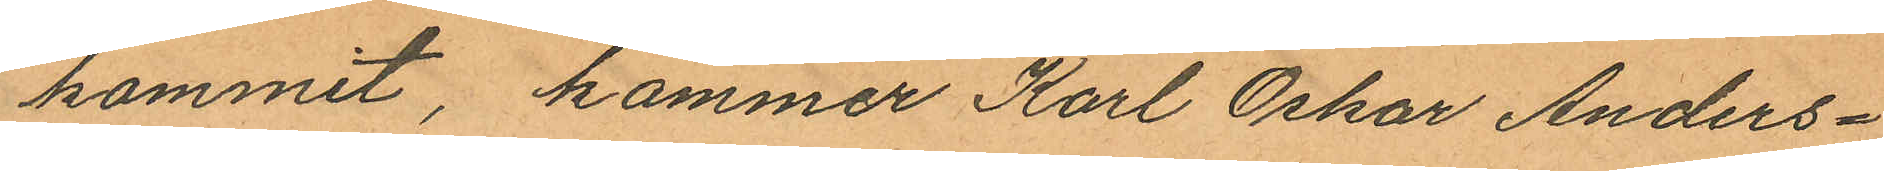kommit, kommer Karl Oskar Anders¬
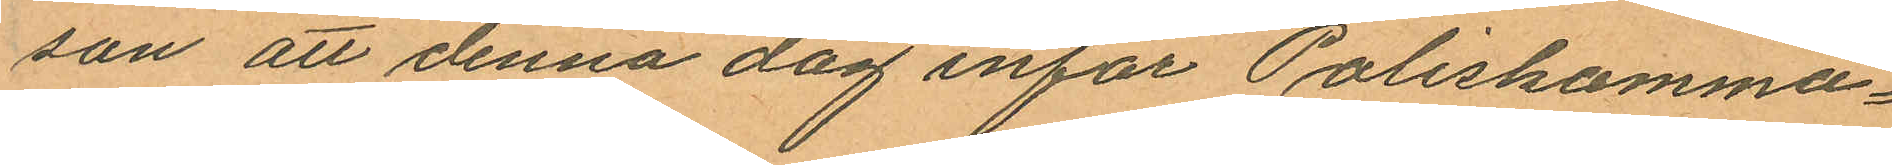son att denna dag inför Poliskamma¬
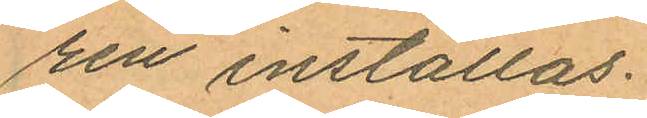ren inställas.
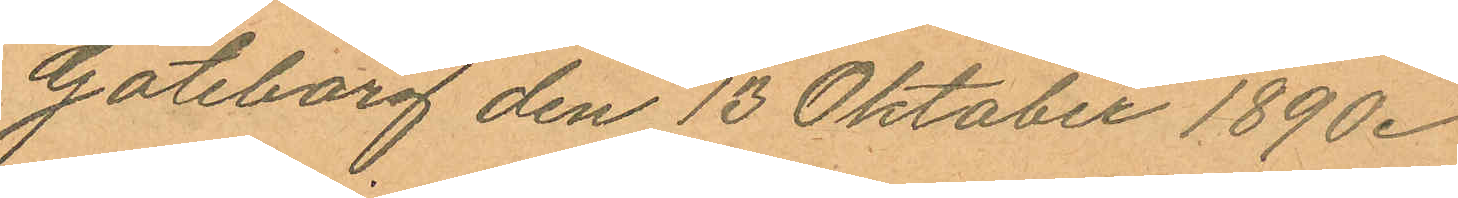Göteborg den 13 Oktober 1890.
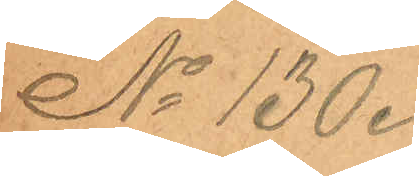No 130.
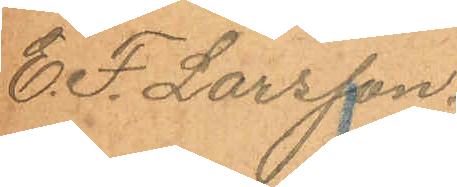E.F. Larsson.
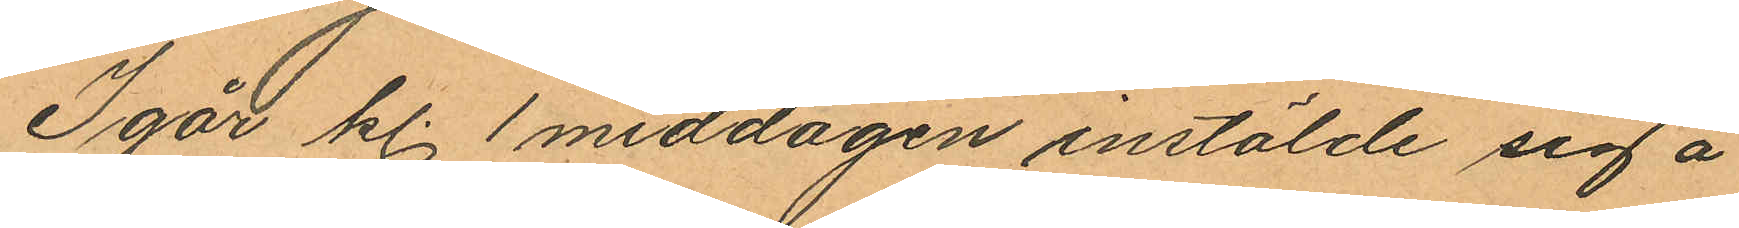Igår kl. 1 middagen instälde sig å
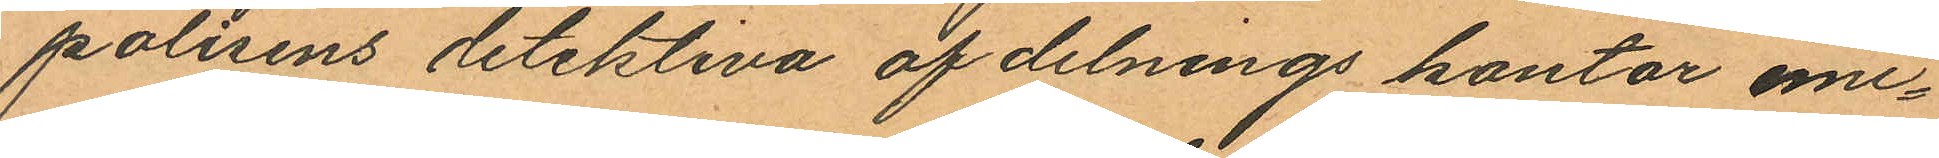polisens detektiva af delnings kontor emi¬
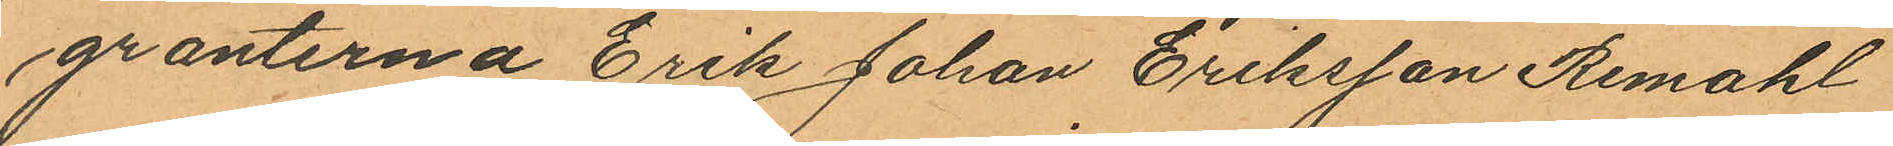granterna Erik Johan Eriksson Remahl
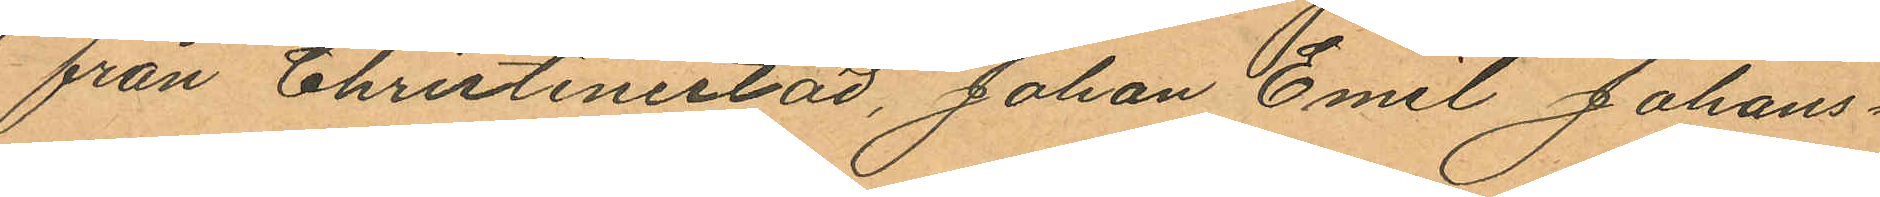från Christinestad, Johan Emil Johans¬
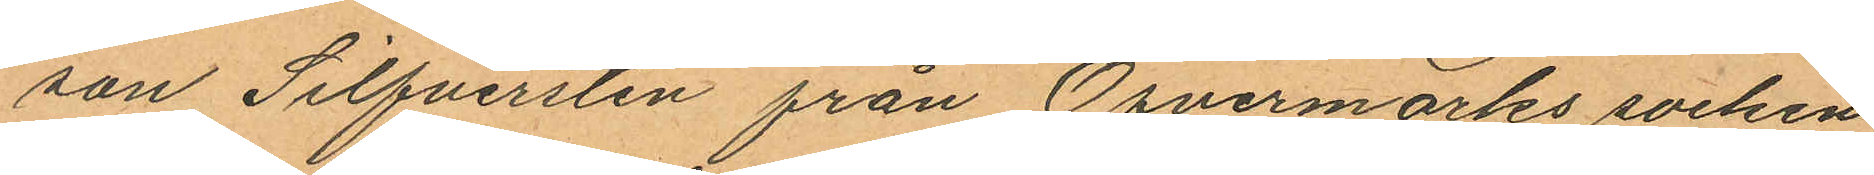son Silfversten från Öfvermarks socken
